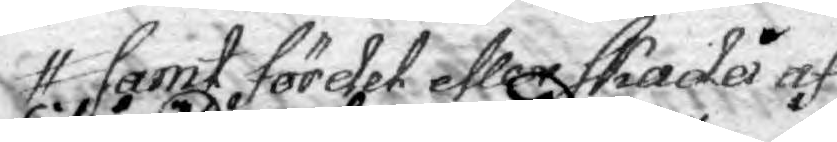samt för det eller skada af
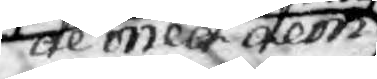de med dem
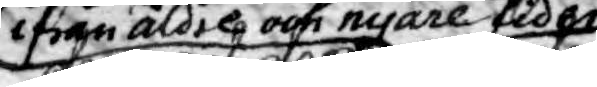ifrån äldre och nyare tider
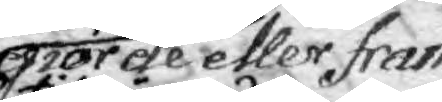giorde eller fram¬
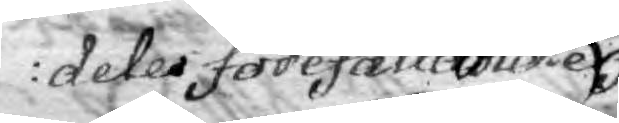deles förefallande
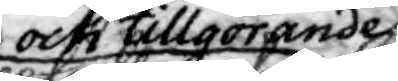och tillgörande
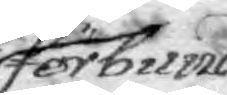förbund
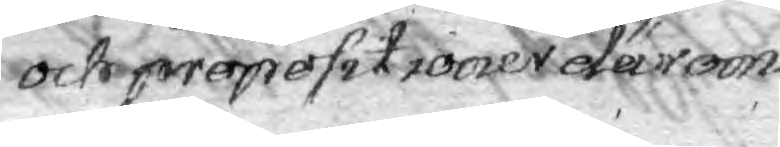och prepositioner därom.
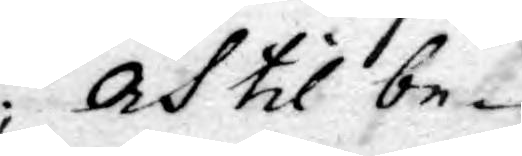; Och til be¬
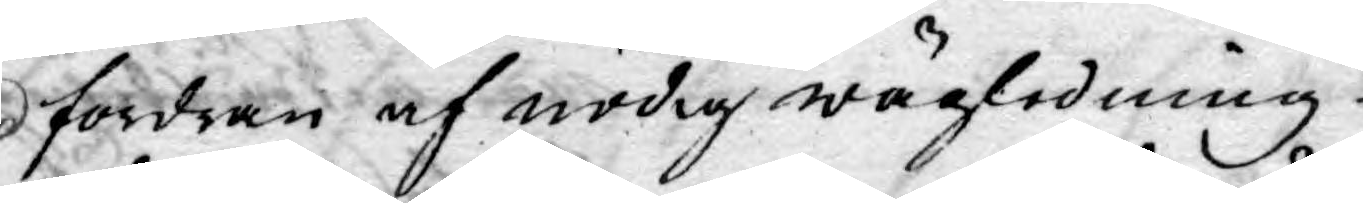fordran af nödig wägledning
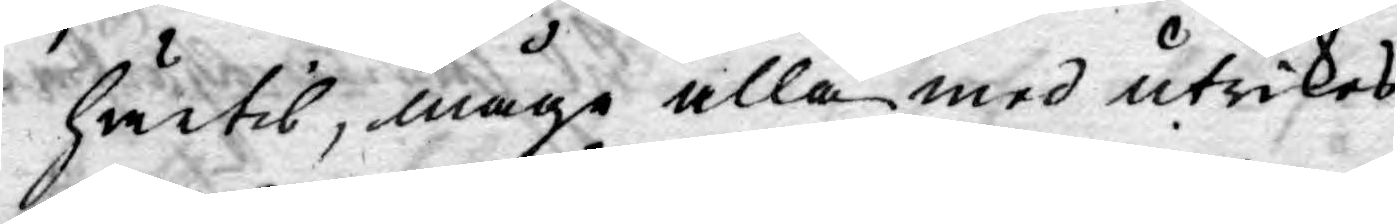härtil, mågo alla med utrikes
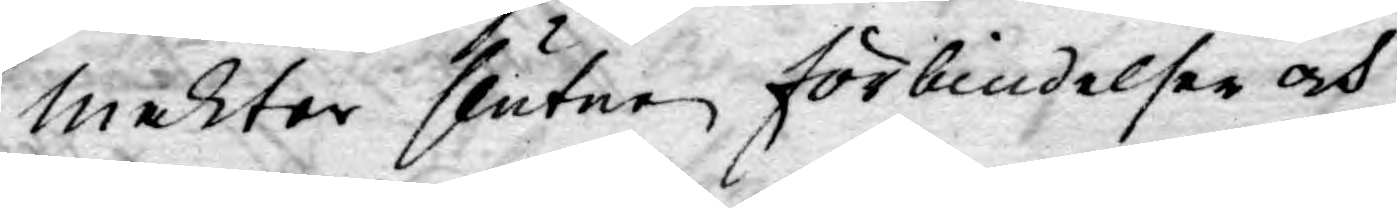makter slutne förbindelser och
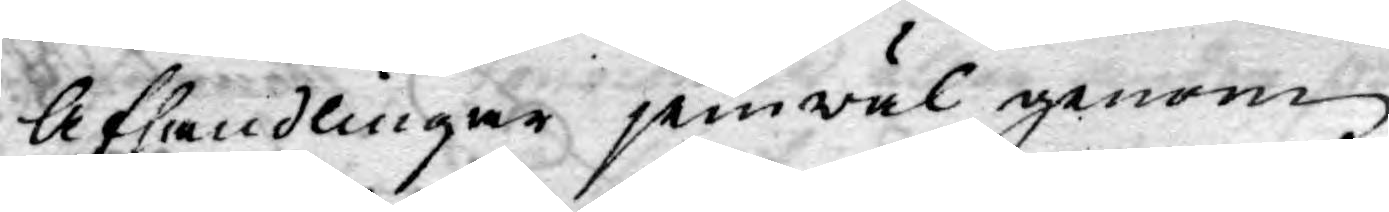Afhandlingar jemwäl genom
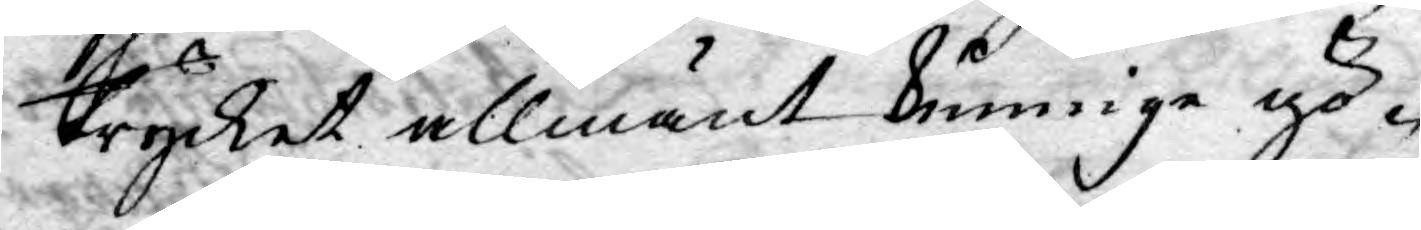trycket allmänt kunninge gö¬
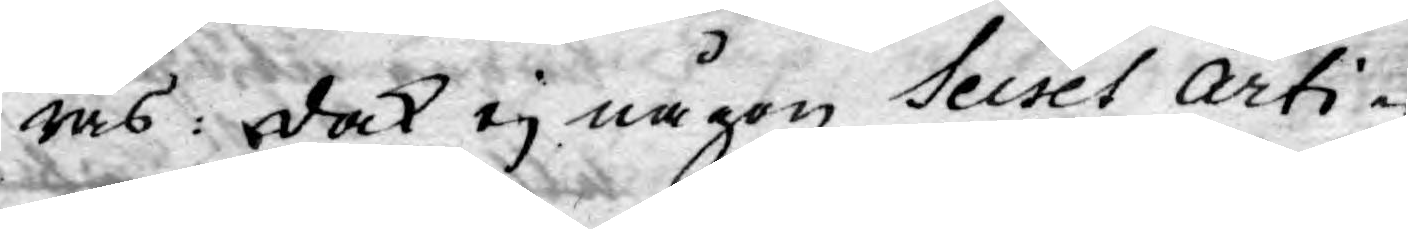ras: dock ej någon Secret Arti¬
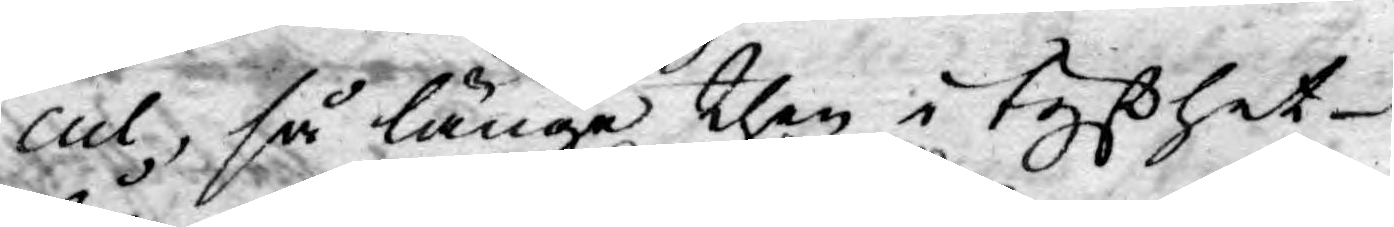cul, så länge then i tysthet
